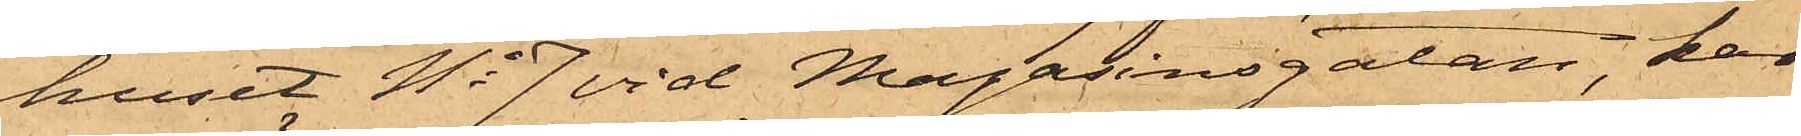huset No 7 vid Magasinsgatan, har
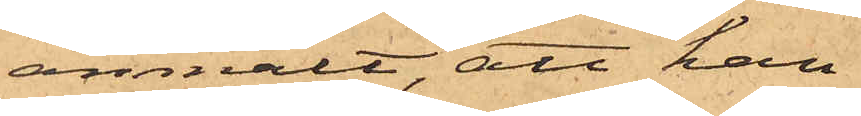anmält, att han
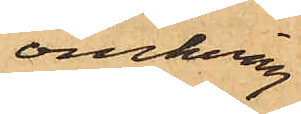omkring
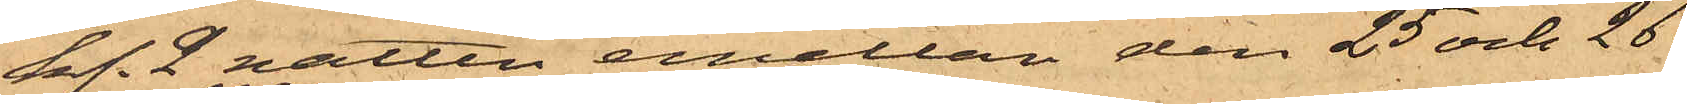kl. 2 natten emellan den 25 och 26
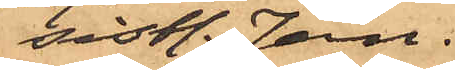sistl. Jan.
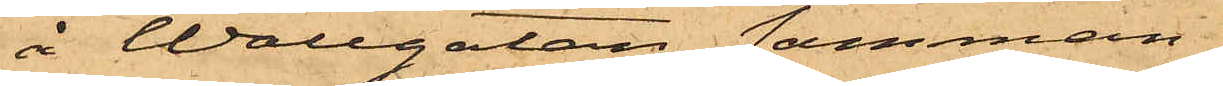å Wallgatan samman¬
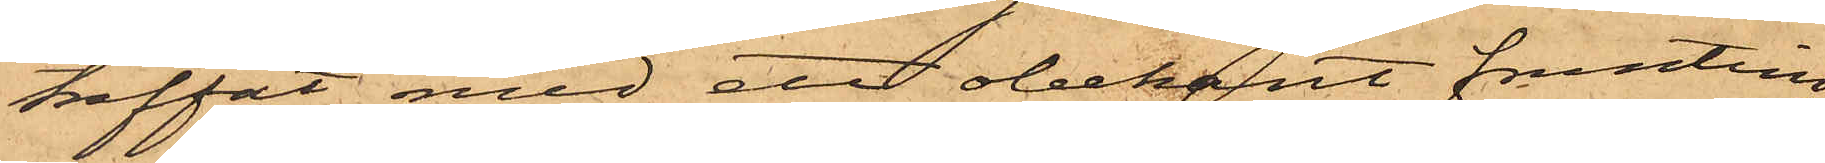träffat med ett obekant fruntim¬
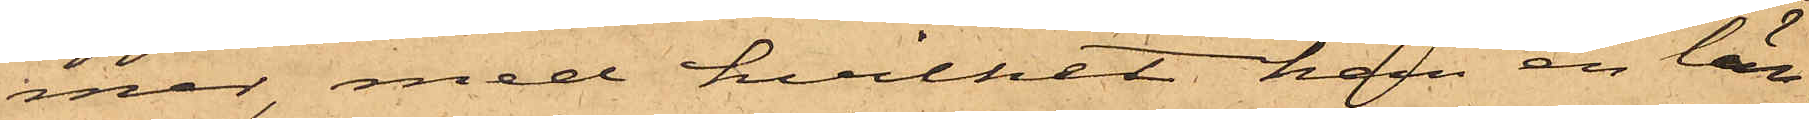mer, med hvilket han en län¬
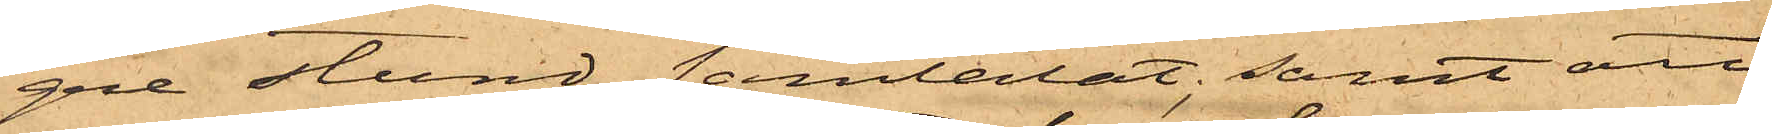gre stund samtalat; samt att
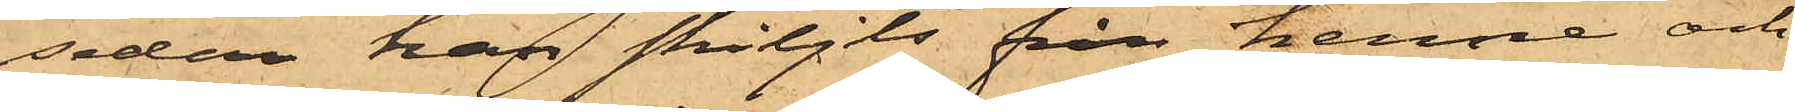sedan han skiljts från henne och
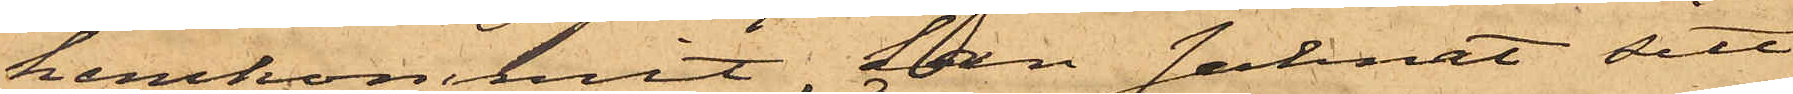hemkommit, han saknat sitt
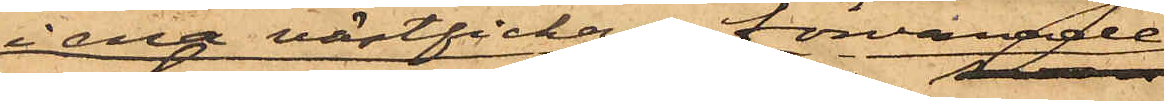i ena västfickan förvarade
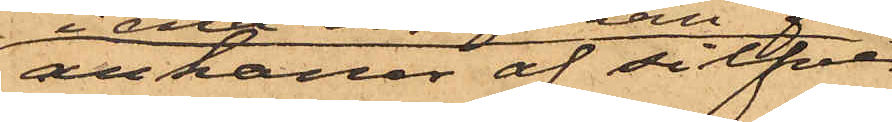ankarur af silfver,
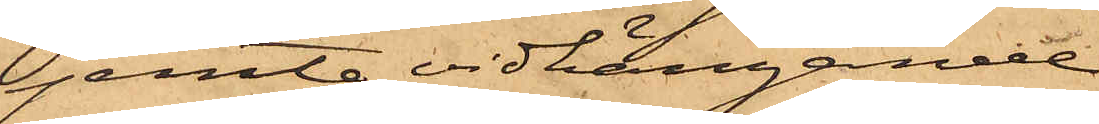jemte vidhängande
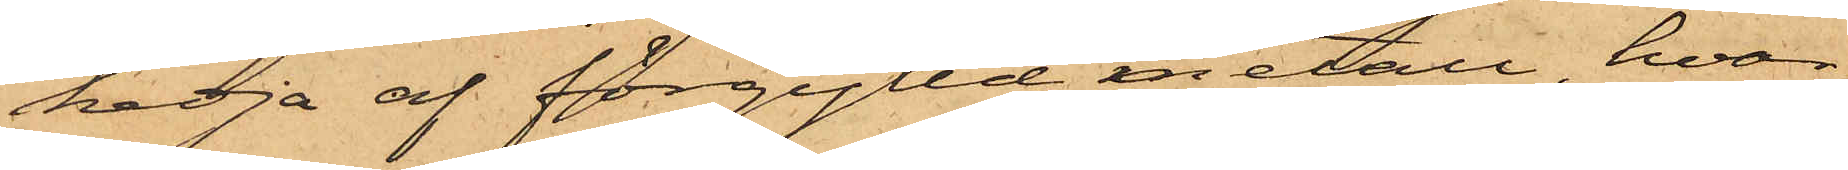kedja af förgylld metall, hvar¬
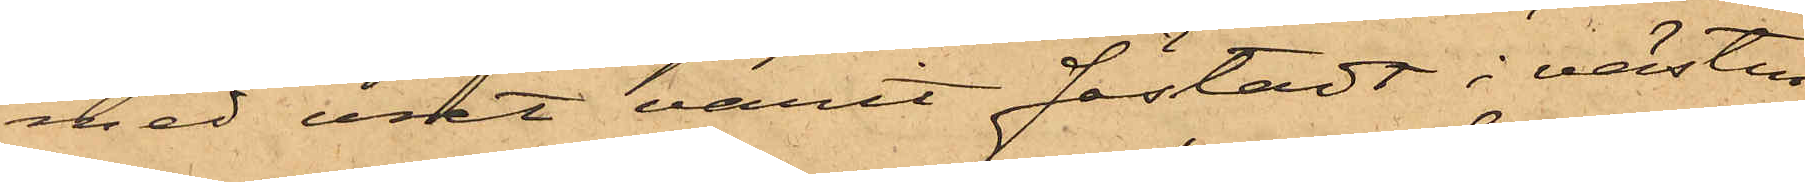med uret varit fästadt i västen
